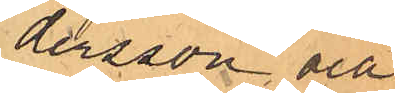dersson och
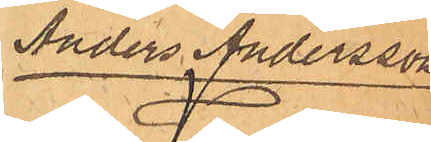Anders Andersson
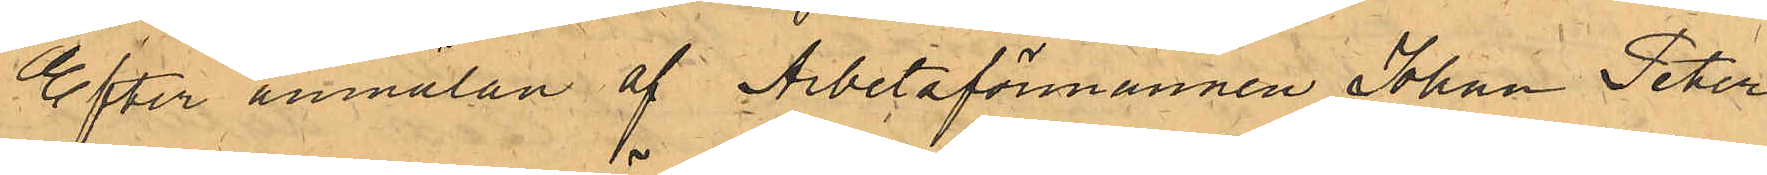Efter anmälan af Arbetsförmannen Johan Peter
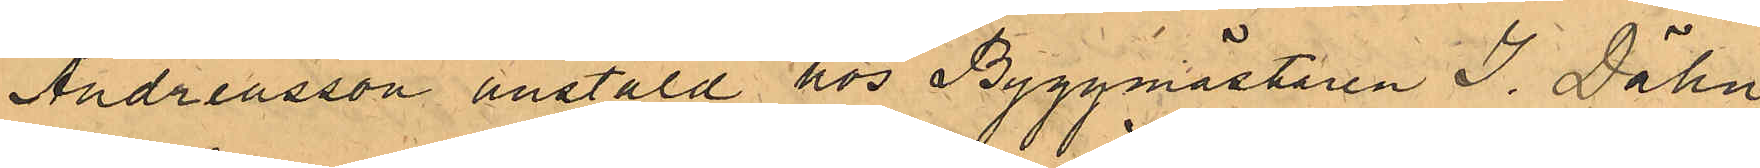Andreasson anstäld hos Byggmästaren J. Dähn
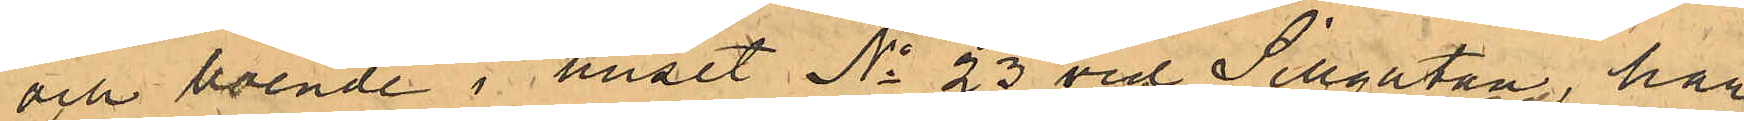och boende i huset No 23 vid Sillgatan har
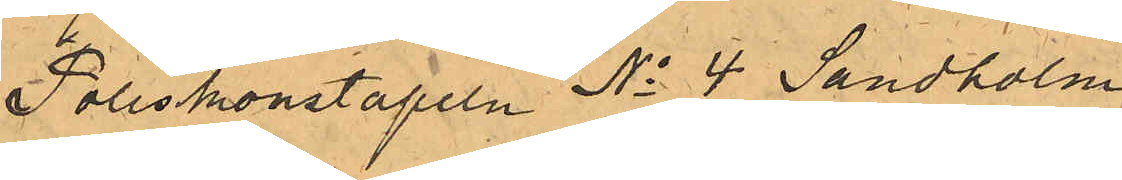Poliskonstapeln No 4 Sandholm
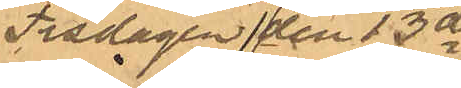tisdagen den 13 ds
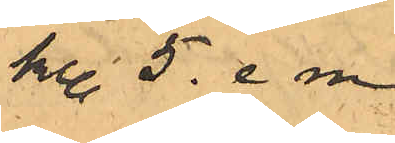kl 5. e m.
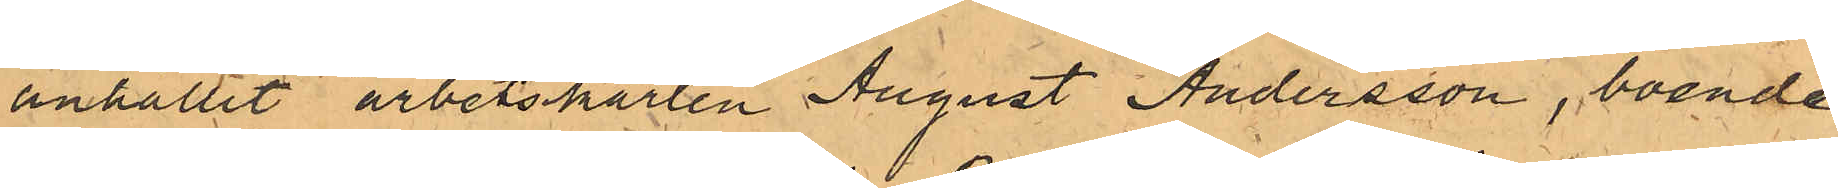anhållit arbetskarlen August Andersson, boende
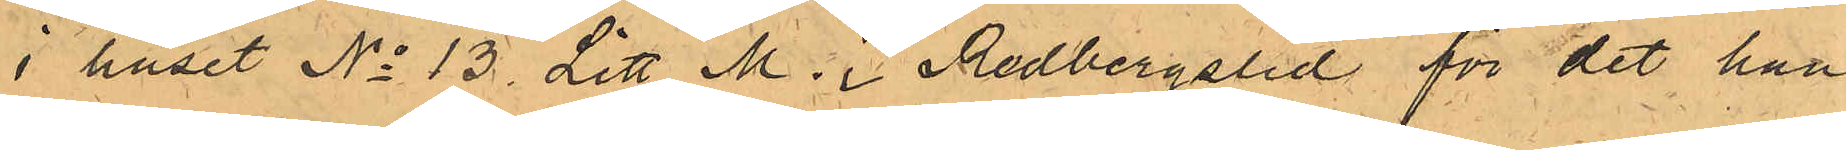i huset No 13 Litt M i Redberglid för det han
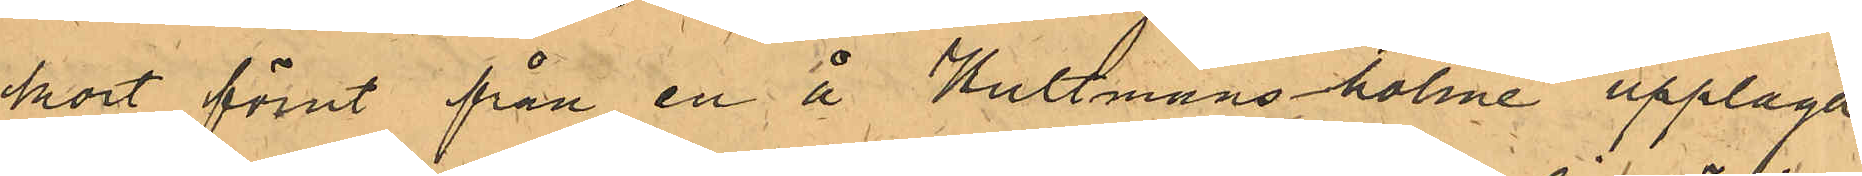kort förut från en å Hultmans holme upplagd
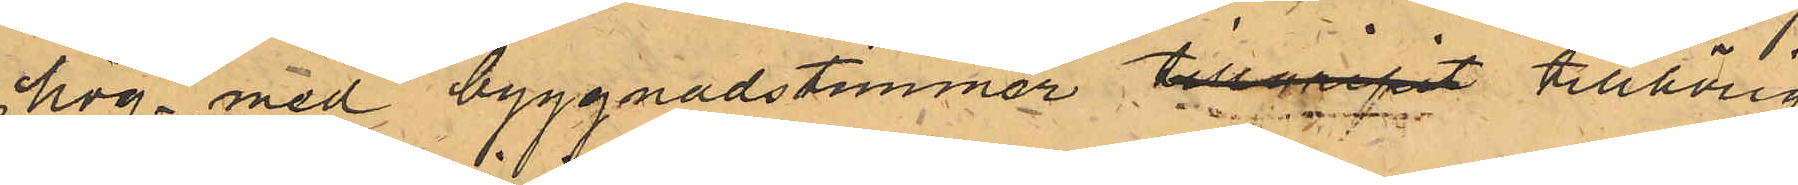hög med byggnadstimmer tillgripit tillhörig
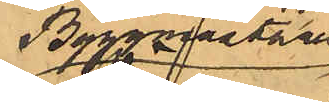Byggmästaren
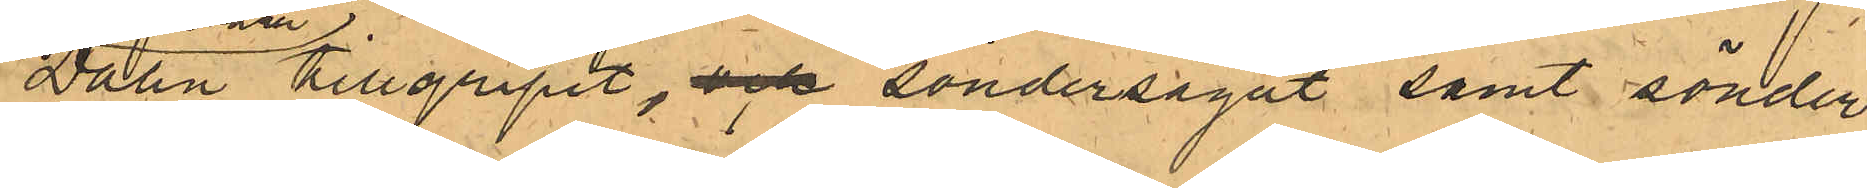Dähn tillgripit,  och söndersågat samt sönder
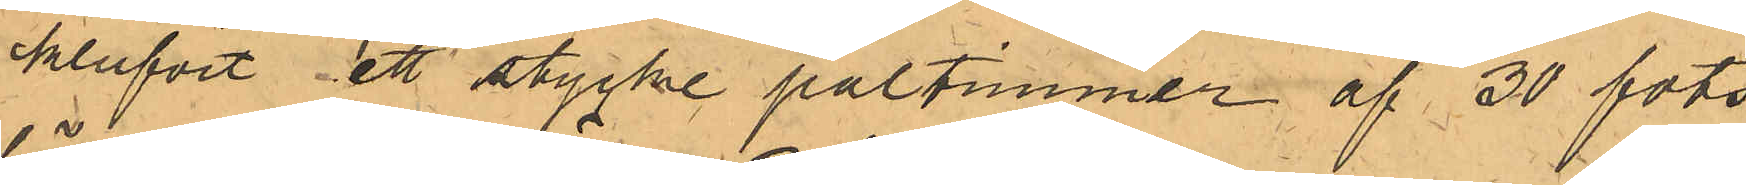kluvit ett stycke påltimmer af 30 fots
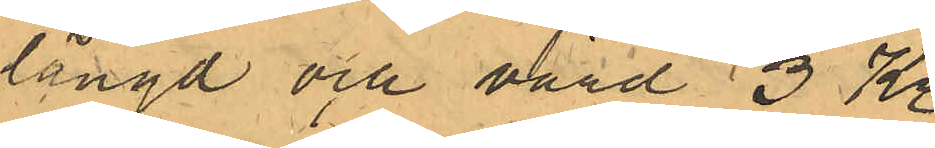längd och värd 3 Kr.
